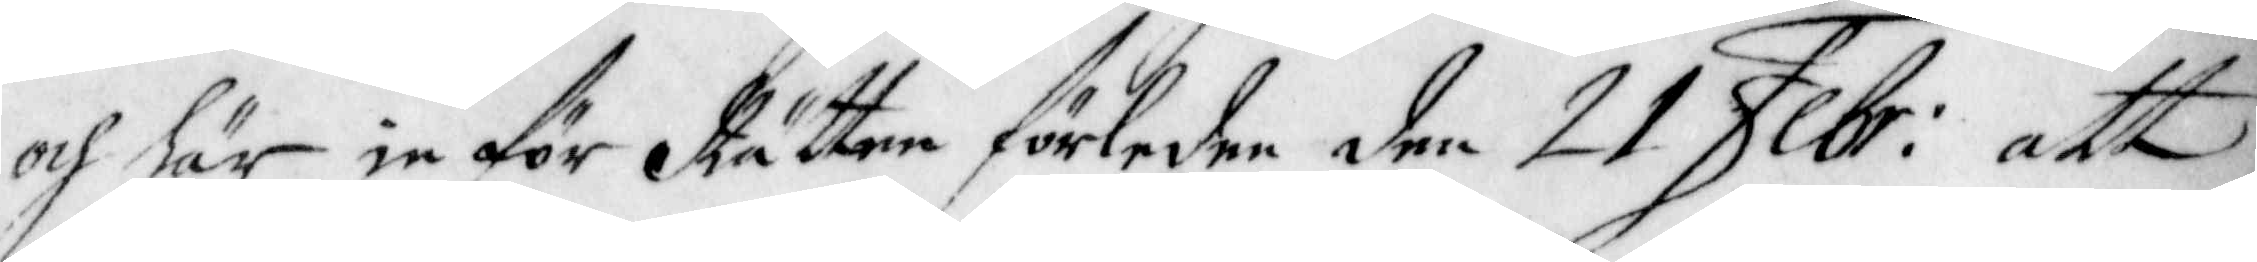och här in för Rätten förledne den 21 Febr: att
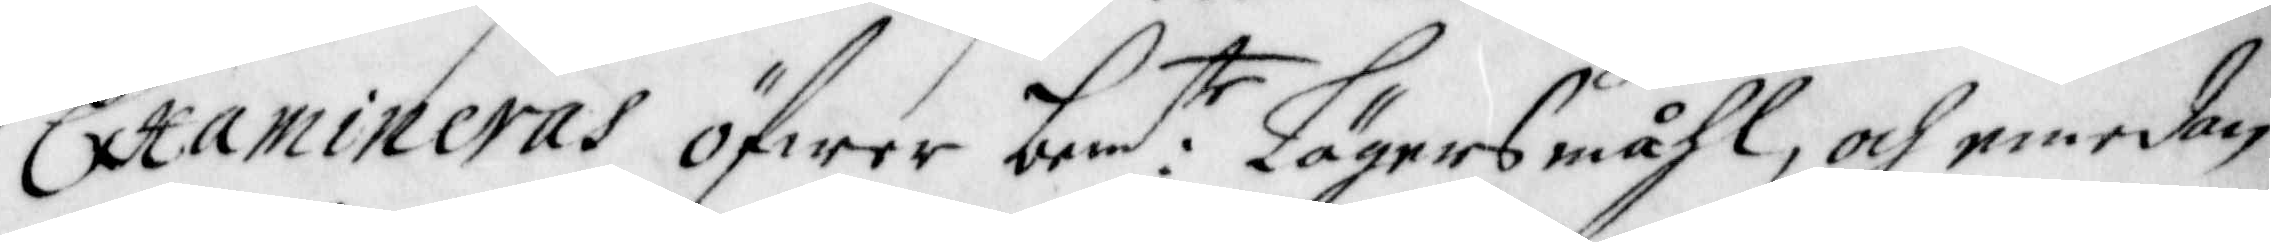Examineras öfwer bem:te Lägersmåhl, och emedan
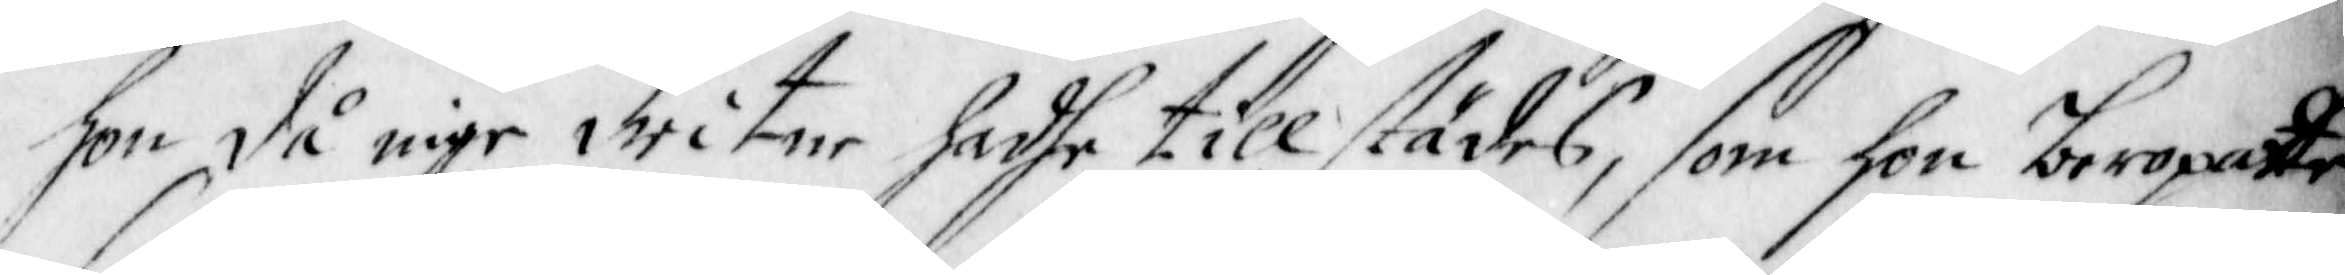hon då inge witne hadhe tillstädes, som hon beropatte
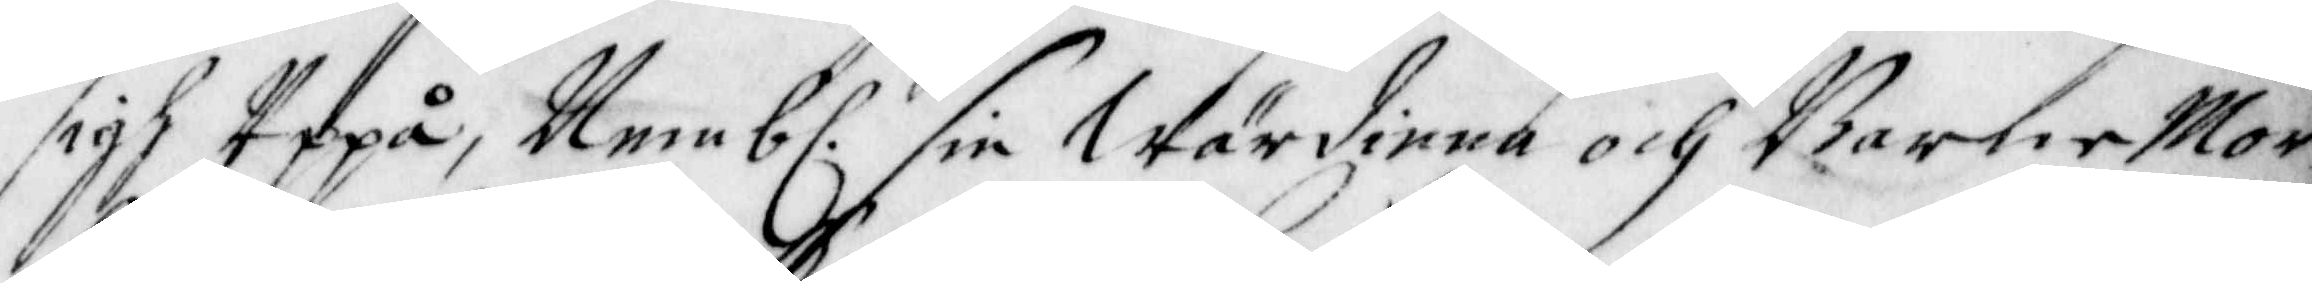sigh Uppå, Nemb. sin Wärdinna och Barne Mor¬
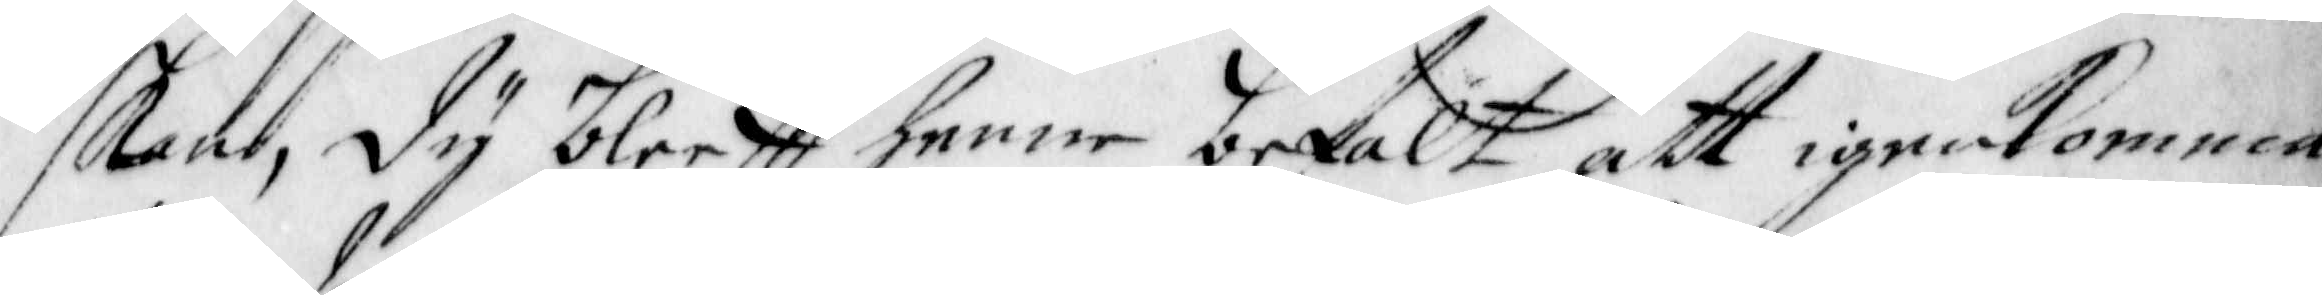skan, Dy bleeff henne befalt att igenkomma
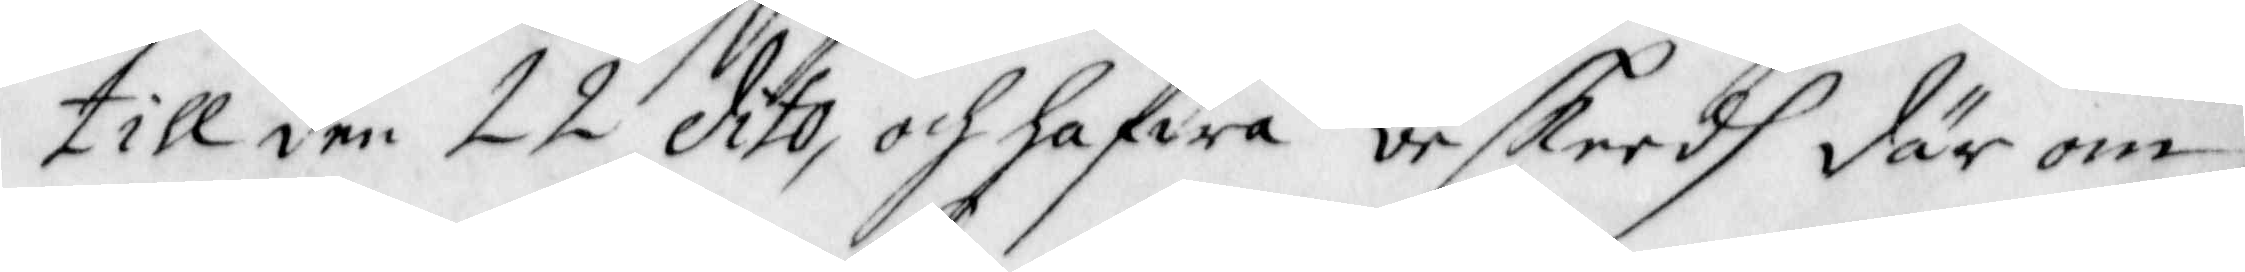till den 22 dito, och hafwa beskeedh där om.
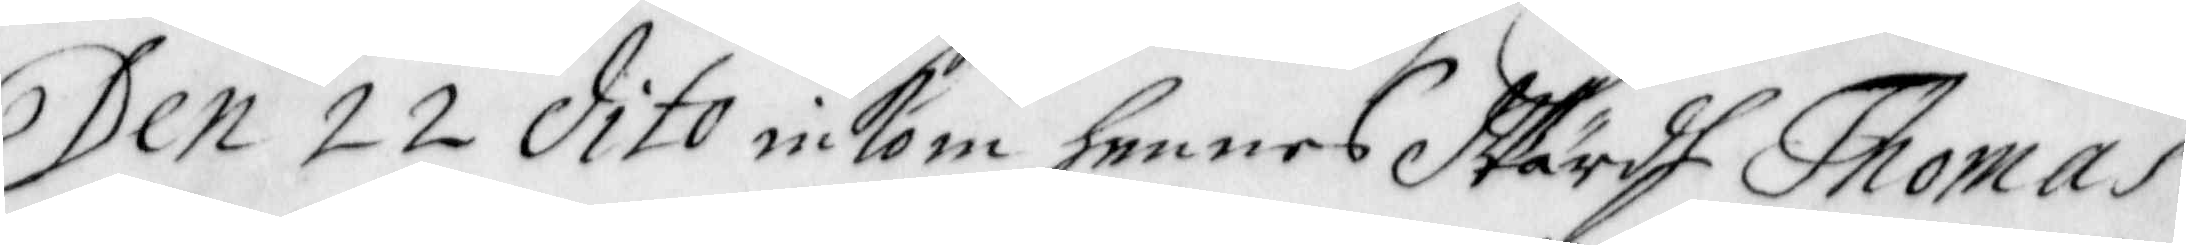Den 22 dito inkom hennes Wärdh Thomas
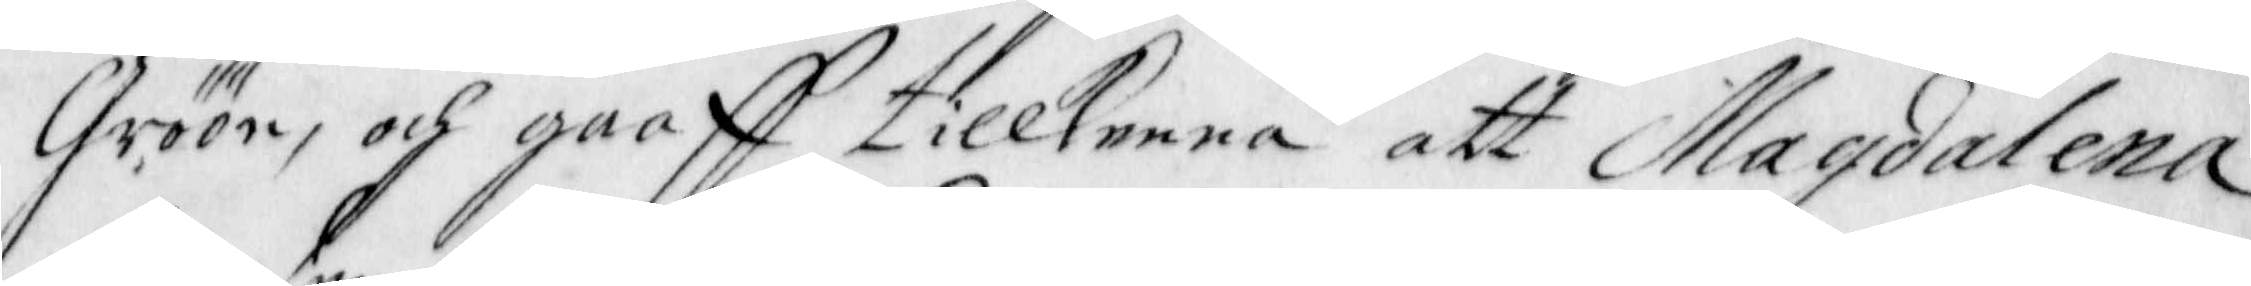Gröön, och gaaff tillkenna att Magdalena
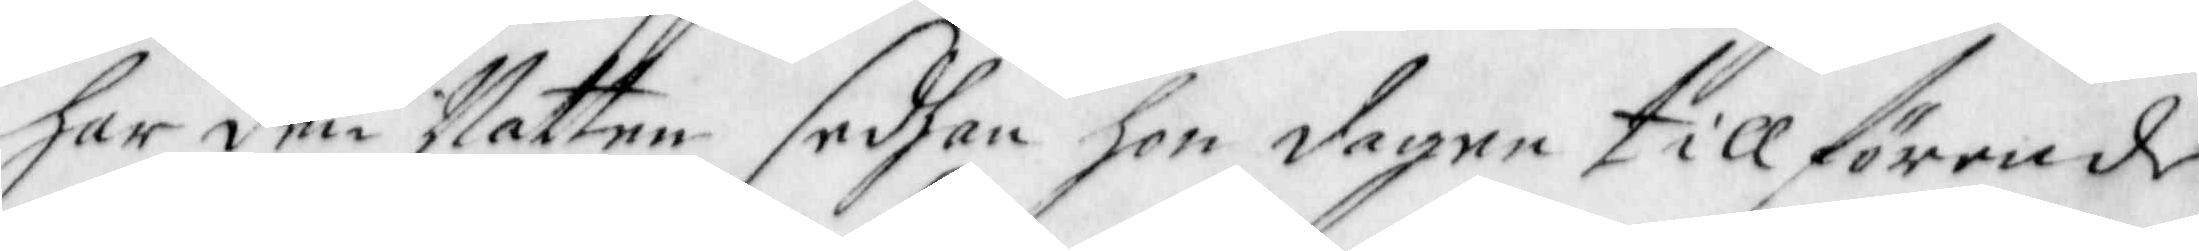har den Natten sedhan hon dagen tillförende
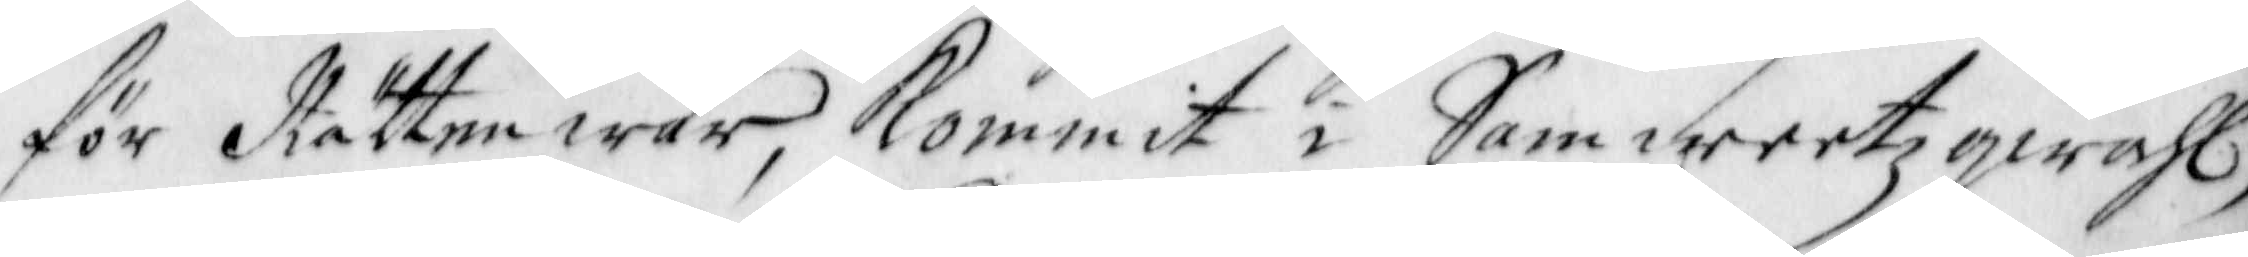för Rätten war, Kommit i Samweetzqwahl,
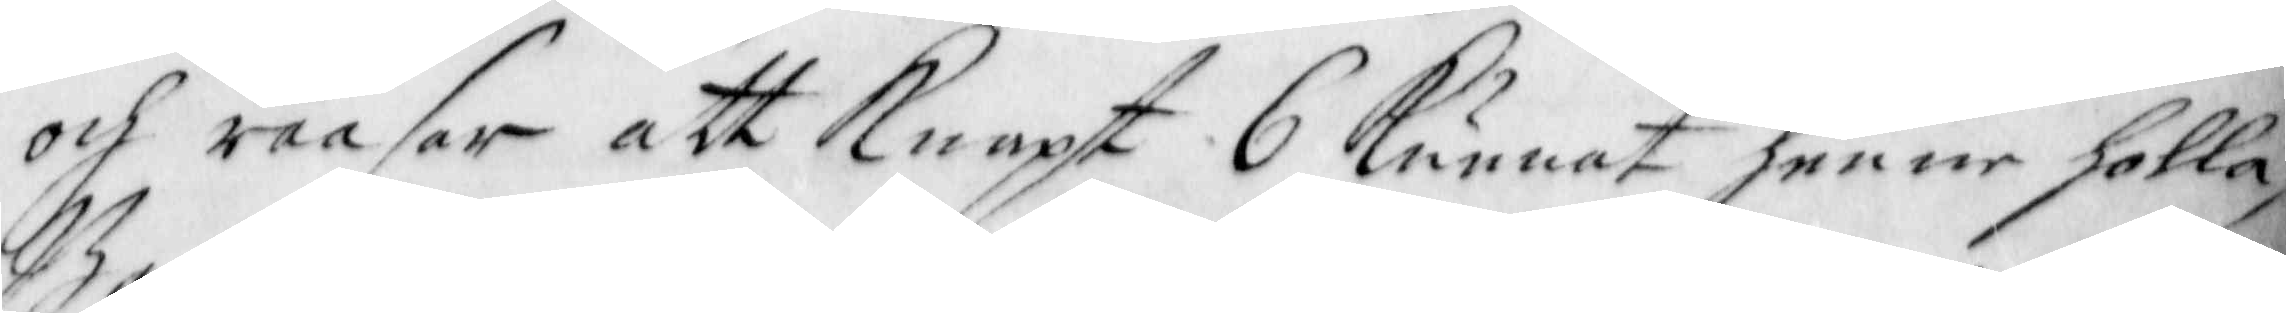och raasar at Knapt 6 Kunnat henne holla,
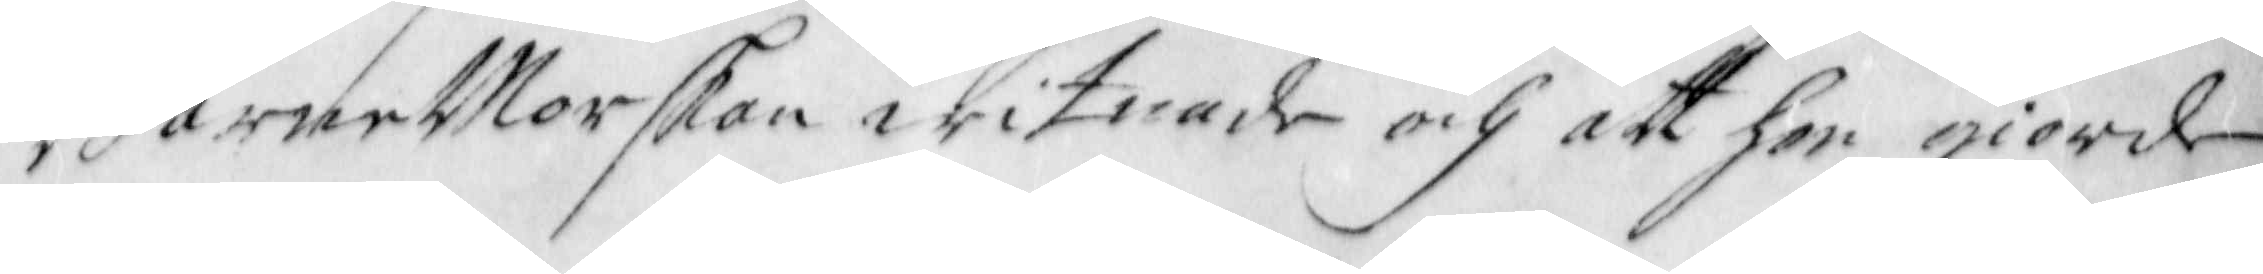Barne Morskan witnade och att hon giorde
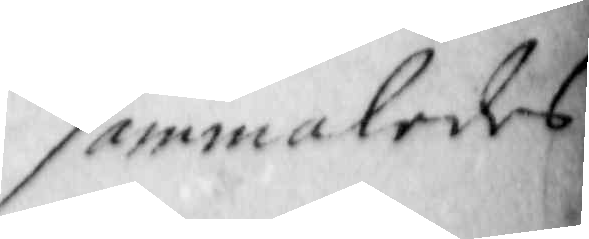sammaledes
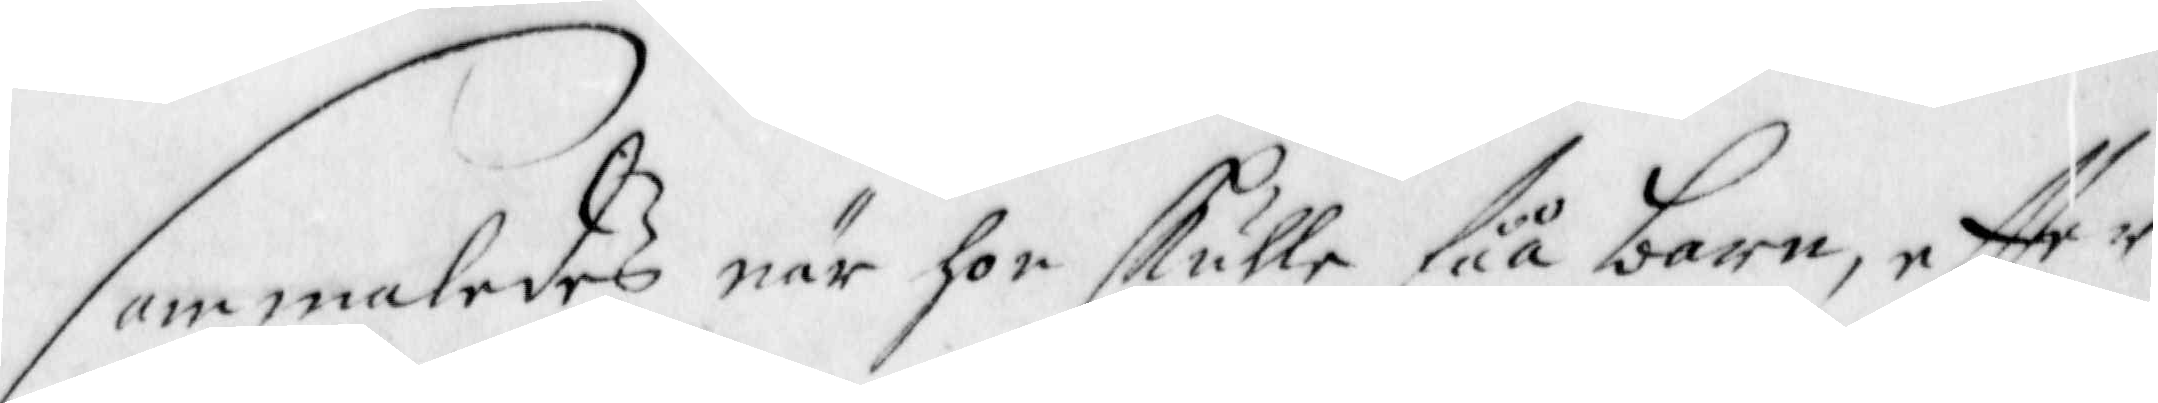sammaledes när hon skulle fåå barn, effter
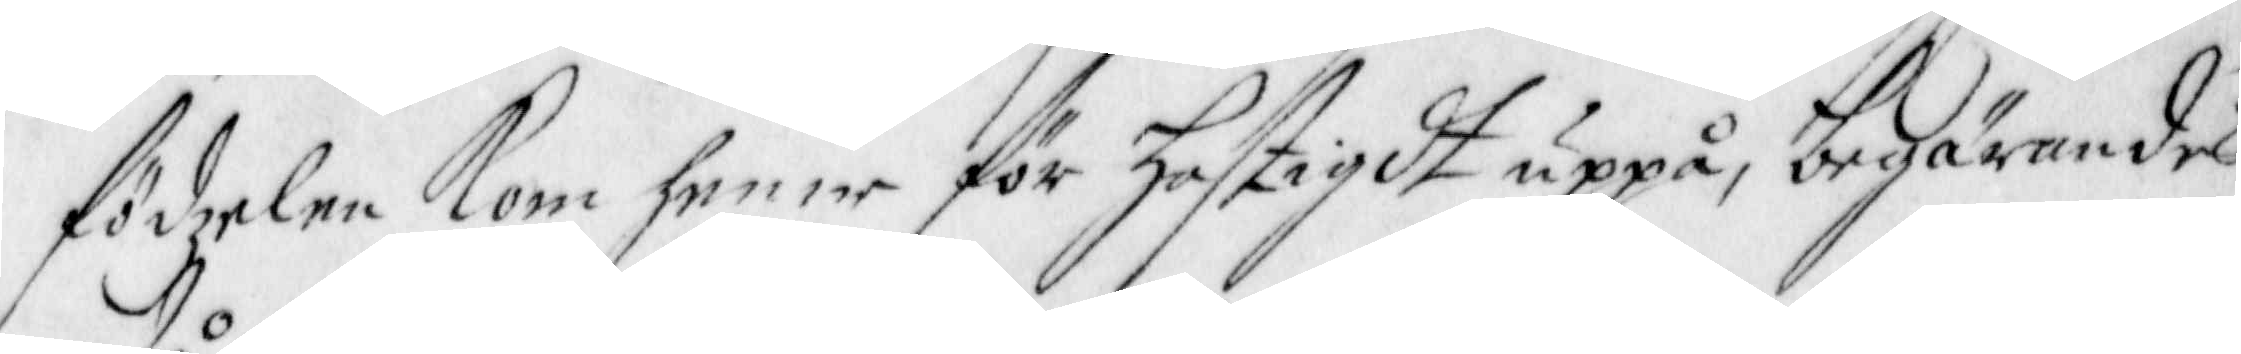födzelen Kom henne för hastigdt uppå, begärandes
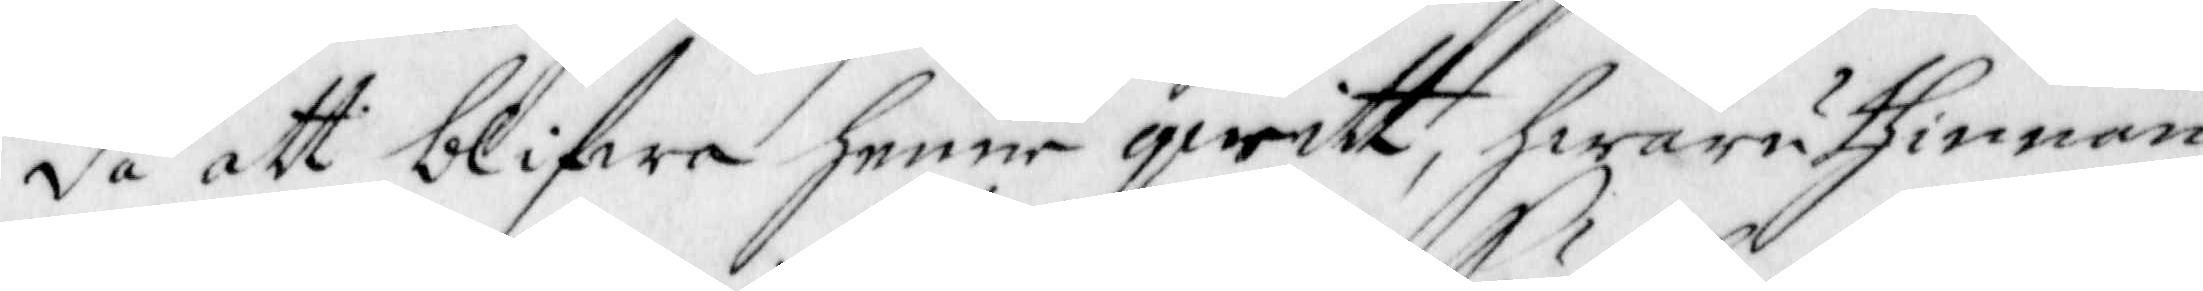då att blifwa henne qwitt, hwaruthinnan-
